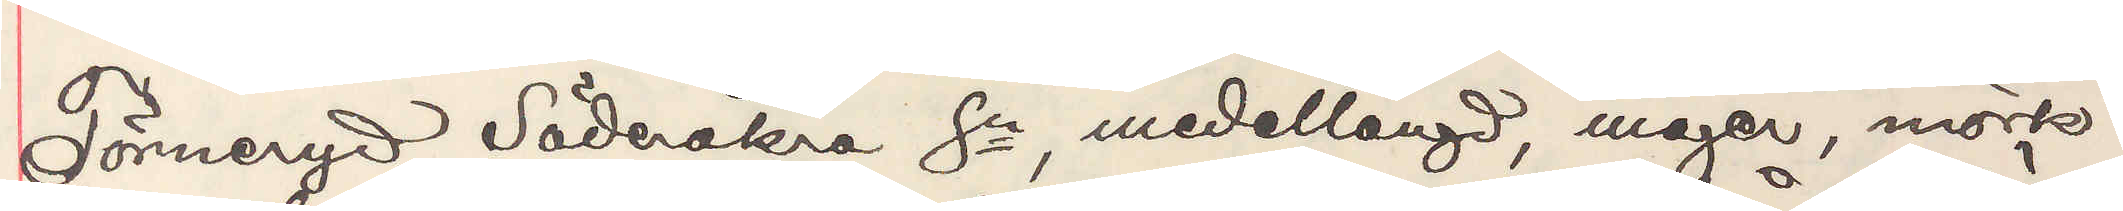Törneryd Söderåkra Sn, meddellängd, mager, mörk¬
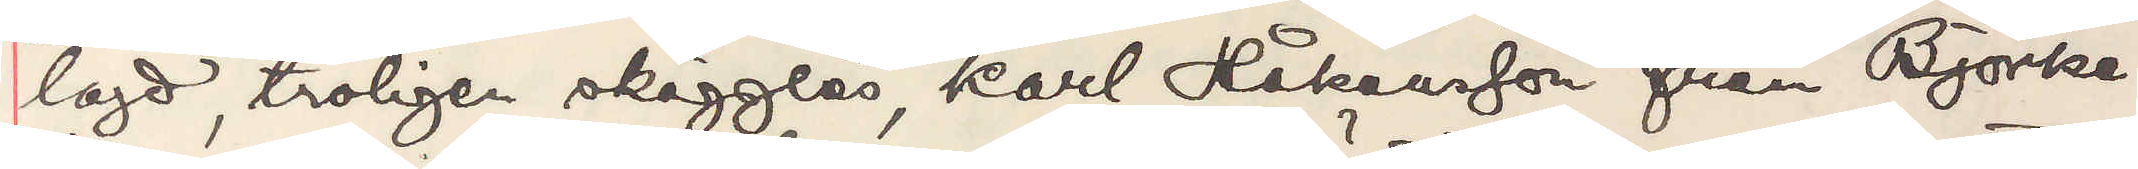lagd, troligen skägglös, Karl Håkansson från Björke¬
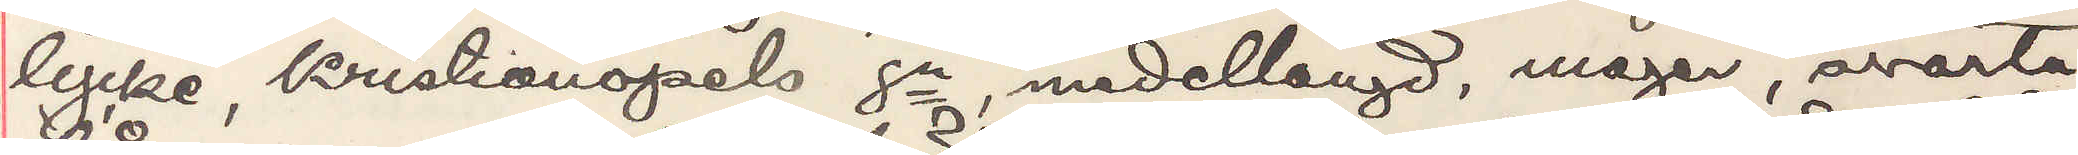lycke, Kristianopels sn, medellängd, mager, svarta
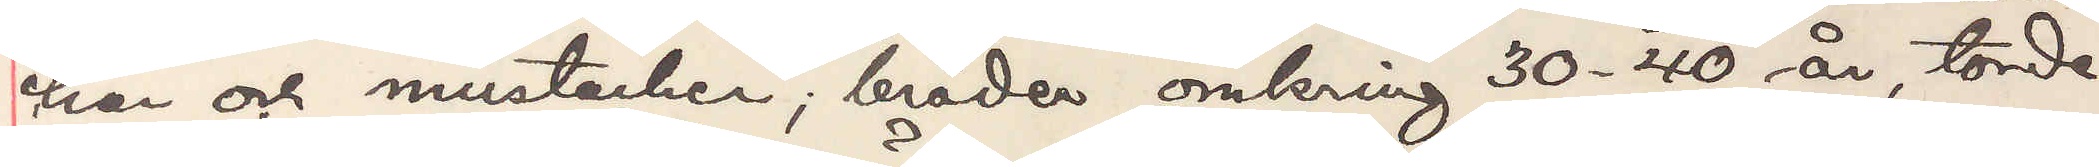hår och mustacher, bröder omkring 30-40 år, torde
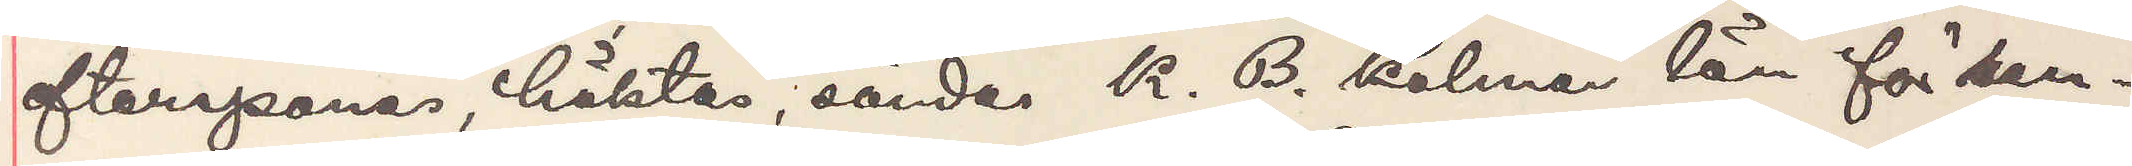efterspanas, häktas, sändes K. B. Kalmar län för ran¬
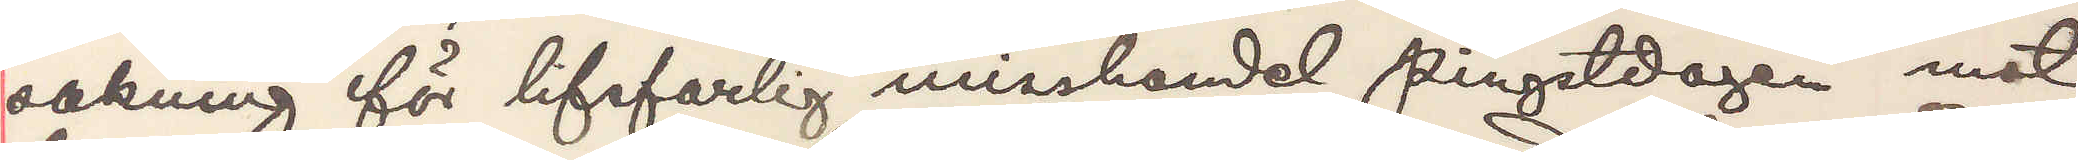sakning förlifsfarlig misshandel pingstdagen mot
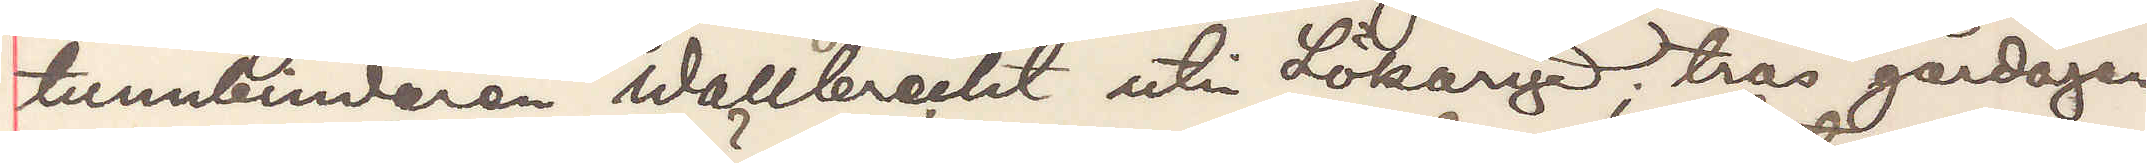tunnbindaren Wallbrecht uti Lökaryd; tros gårdagen
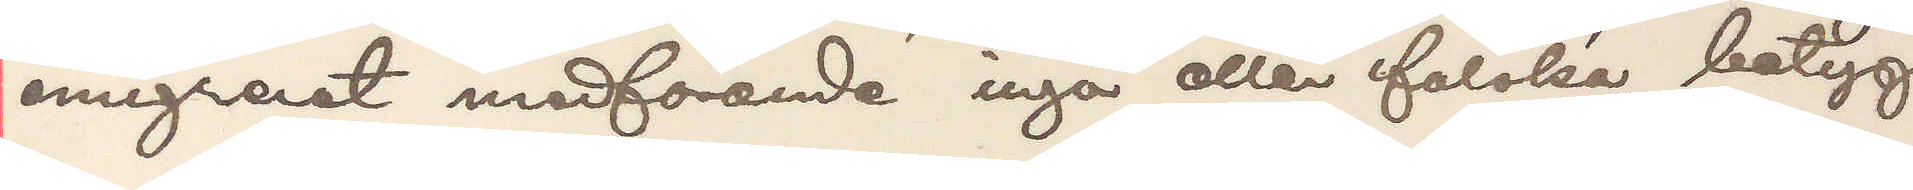emigrerat medförande inga eller falska betyg.
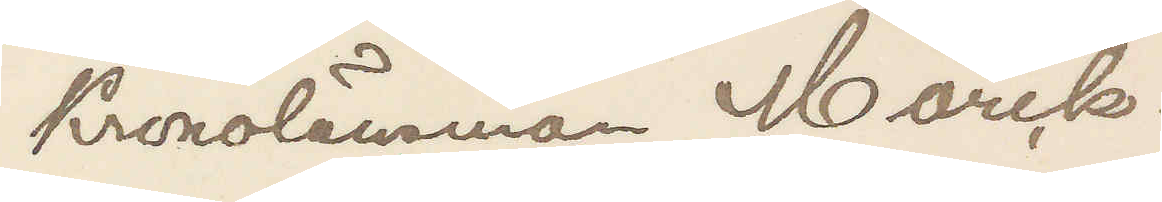Kronolänsman Mörck.
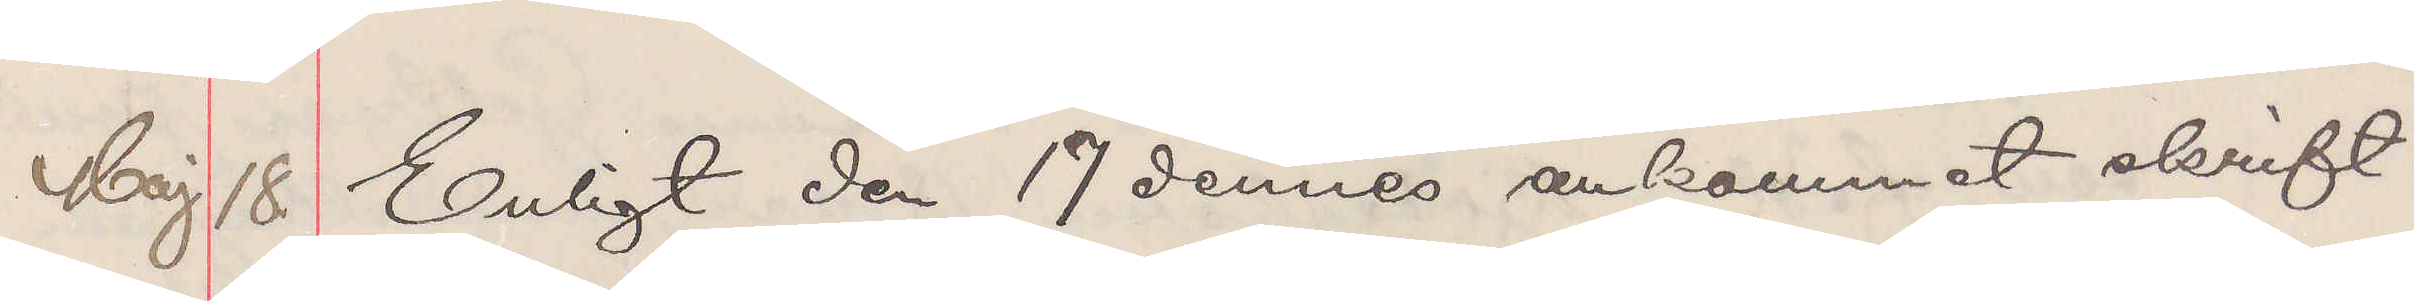Maj 18 Enligt den 17 dennes ankommet skrift¬
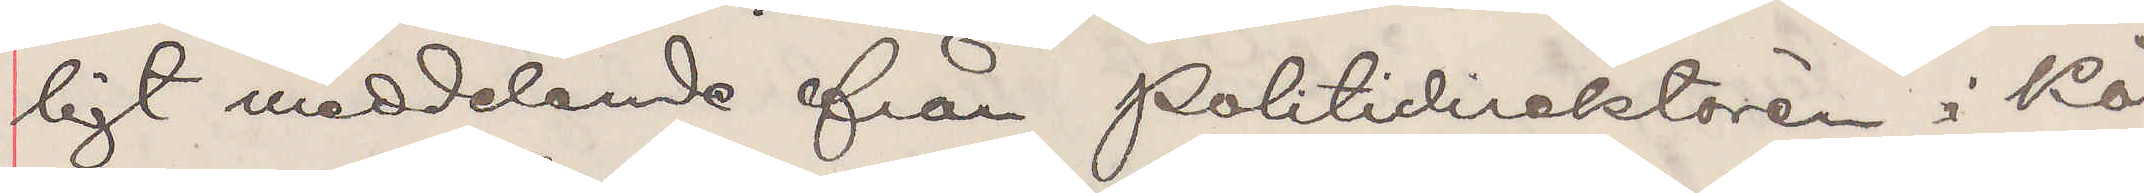ligt meddelande från Politidirektören i Kö¬
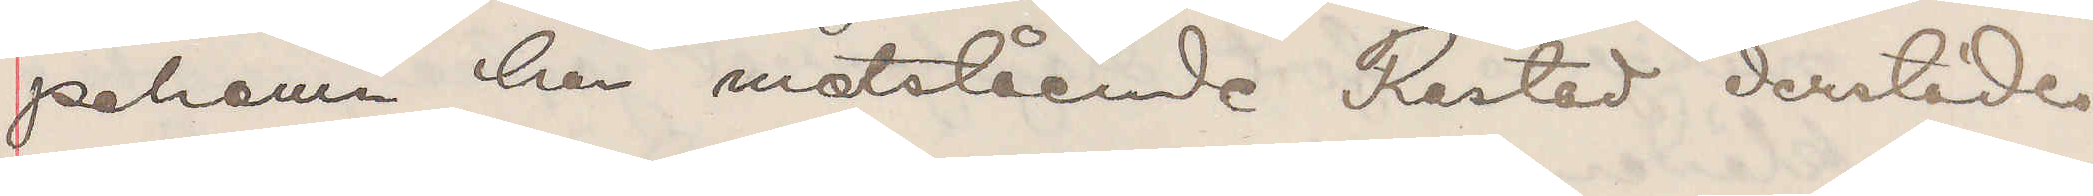pehamn har motstående Restad derstädes
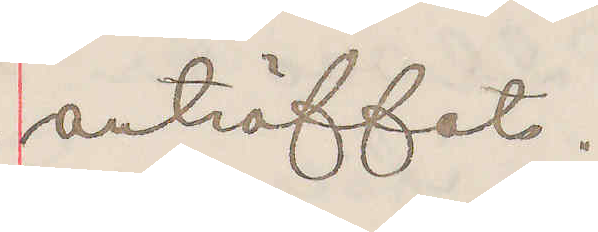anträffats.
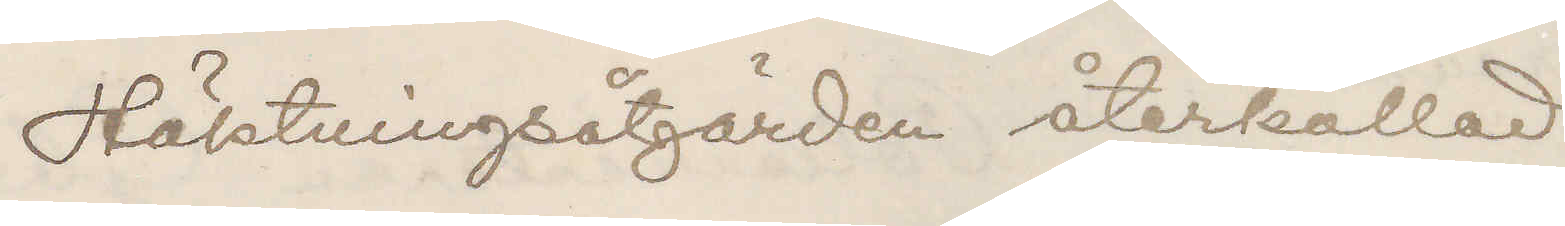Häktningsåtgärder återkallad
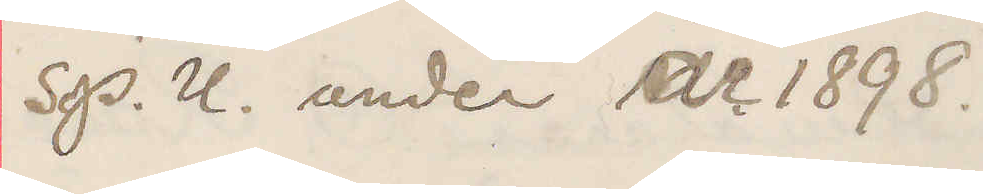Se P. U. under år 1898.
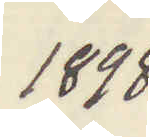1898
